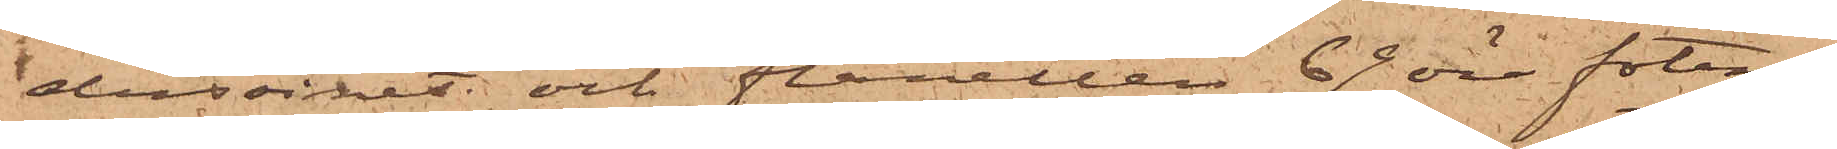dussinet och flanellen 67 öre foten.
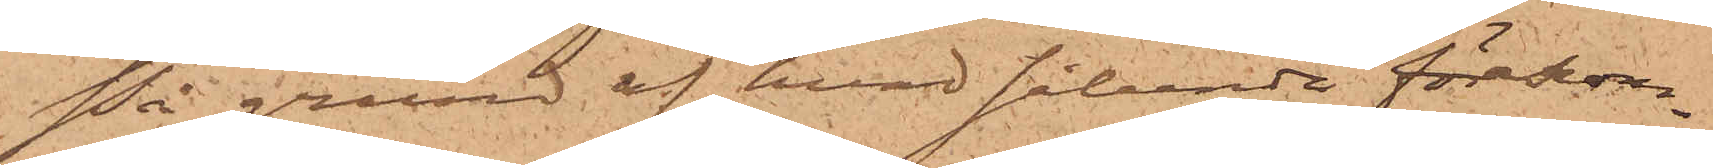På grund af hvad sålunda förekom¬
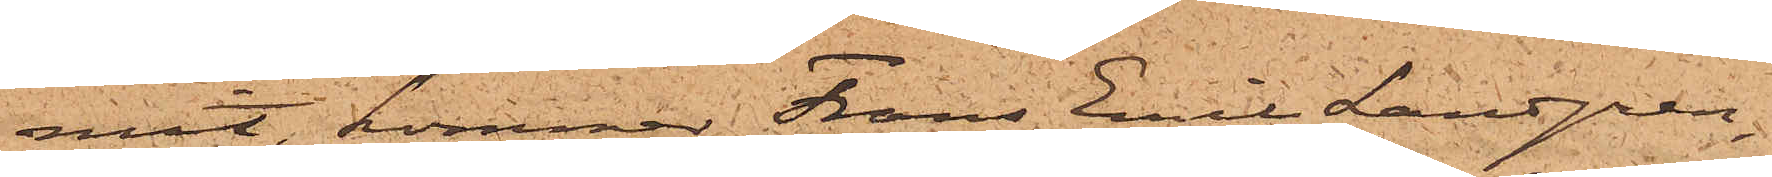mit, kommer Frans Emil Landgren,
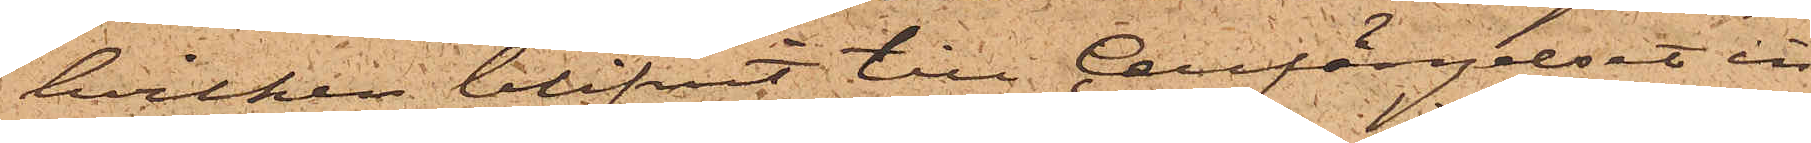hvilken blifvit till Cellfängelset in¬
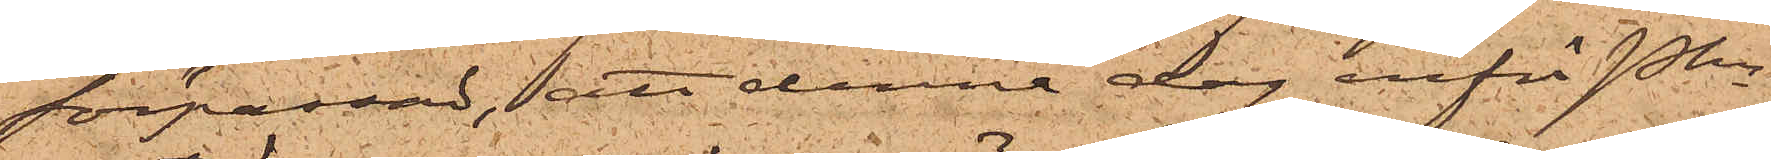förpassad, att denna dag inför Pkn
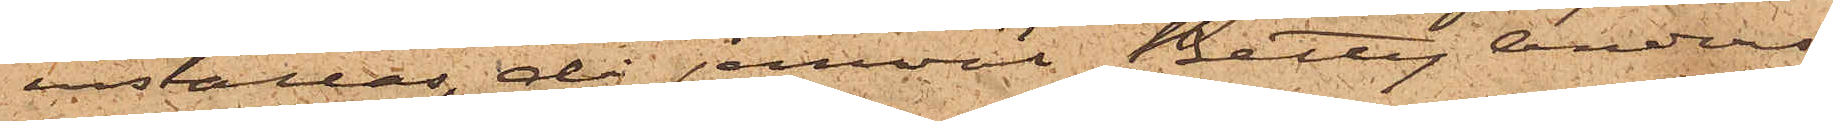inställas, då jemväl Betty Anders¬
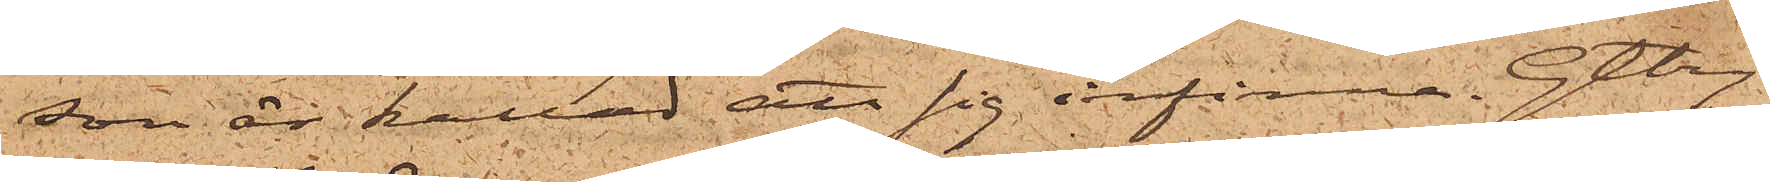son är kallad att sig infinna. Gtbg
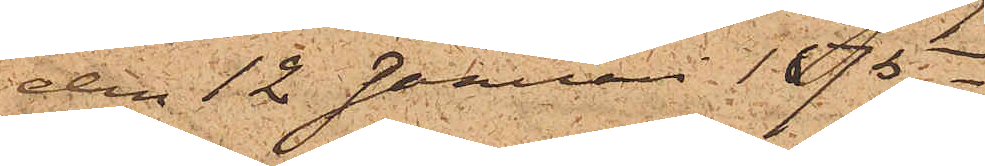den 12 Januari 1875.
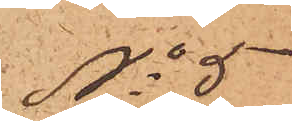No 5
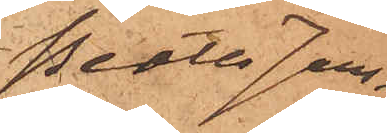Beata Jans¬
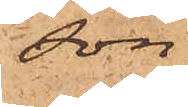son
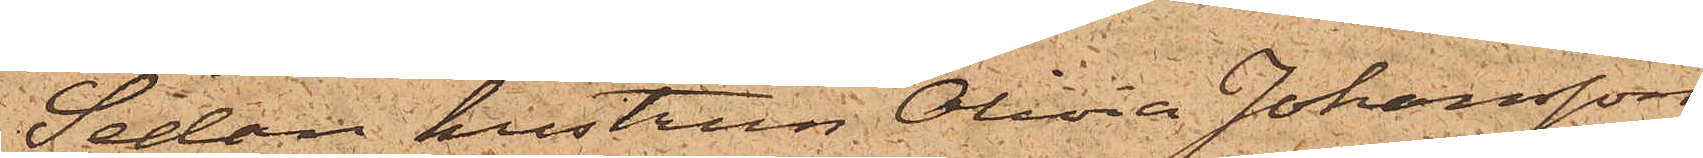Sedan hustrun Olivia Johansson
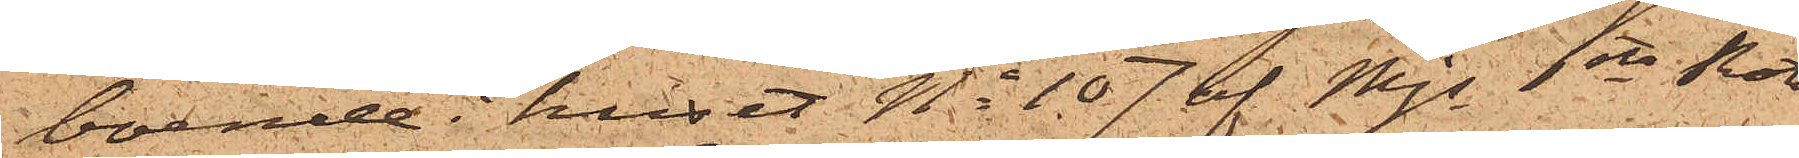boende i huset No 107 af Mjs 1sta Rote,
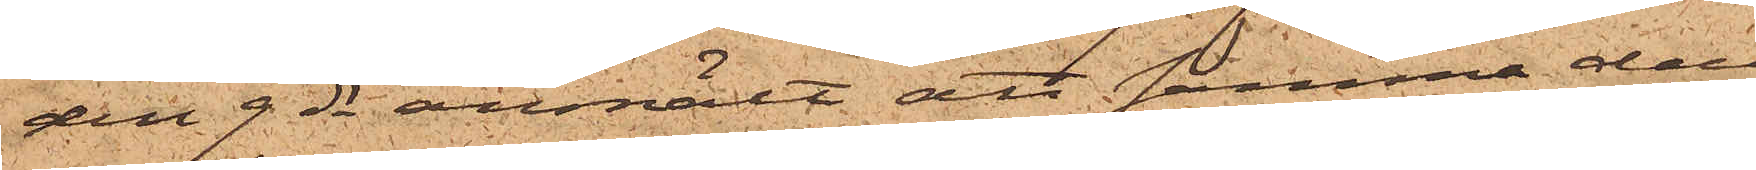den 9 ds anmält att samma dag
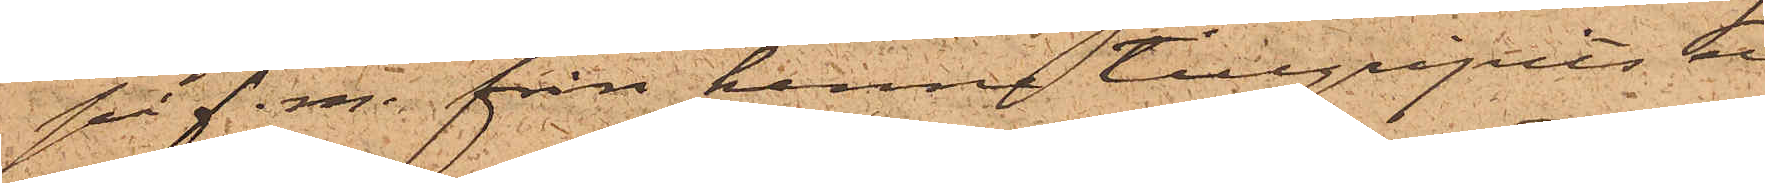på f. m. från henne tillgripits en
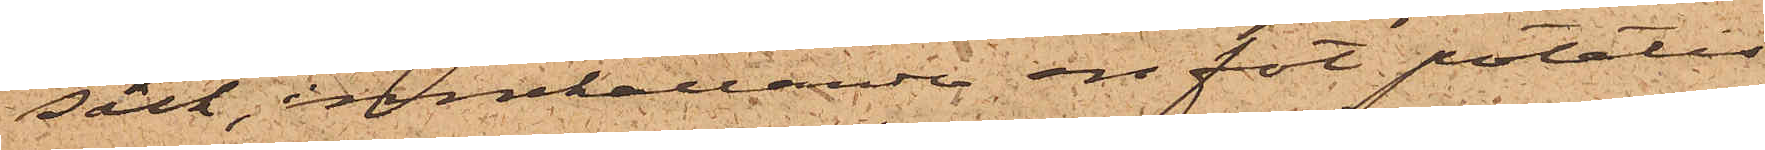säck, innehållande en fot potatis
